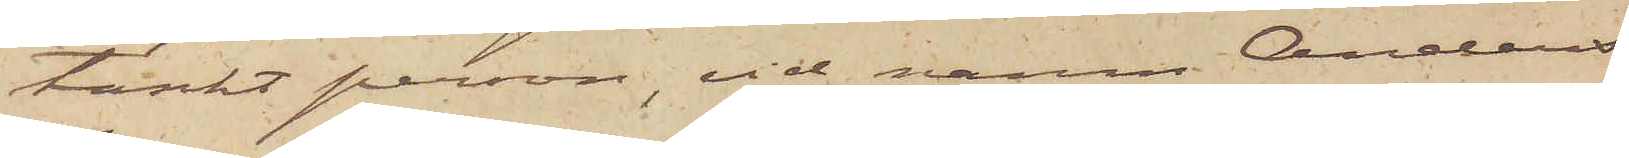tänkt person, vid namn Anders
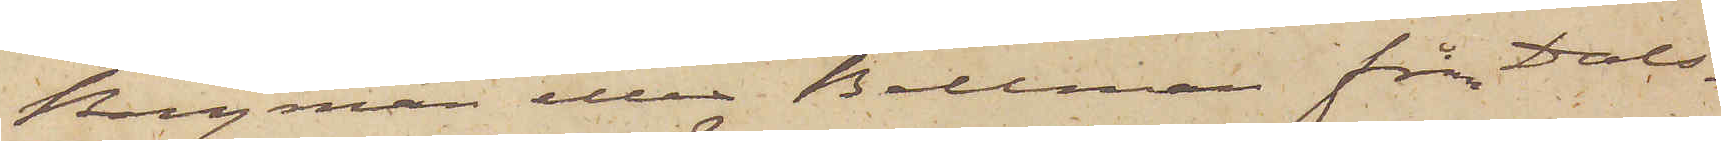Bergman eller Bellman från Dals¬
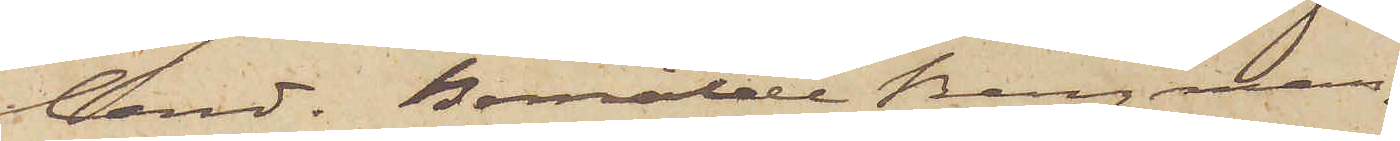land. Bemälde Bergman,
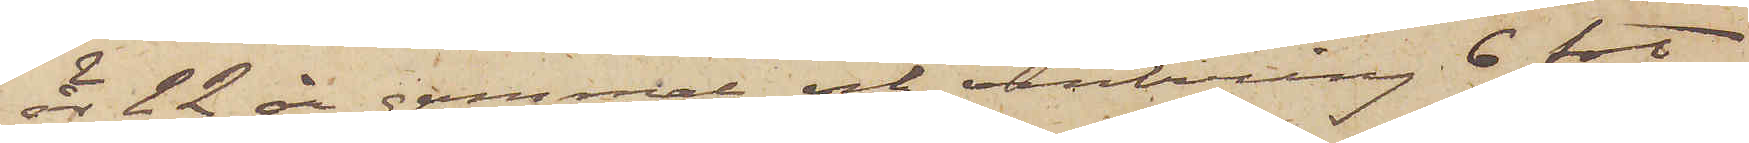är 22 år gammal och omkring 6 fot
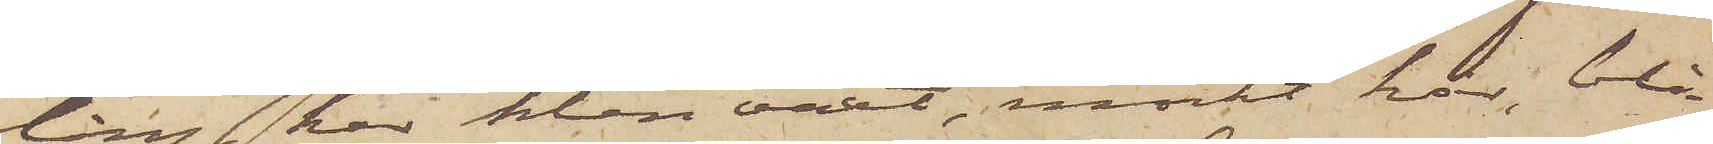lång, har klen växt, mörkt hår, blå
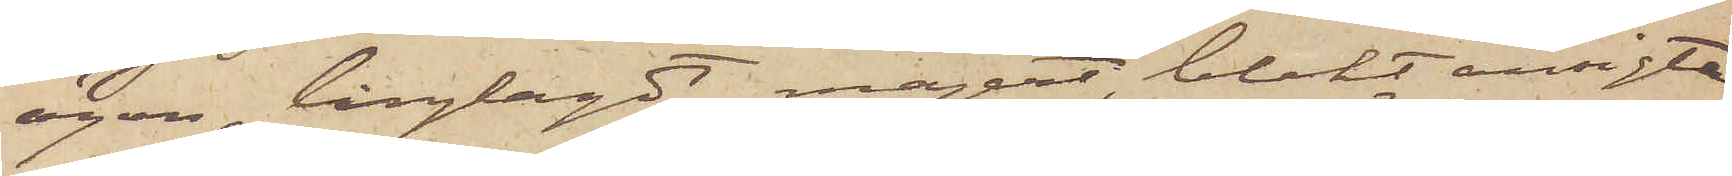ögon, långlagdt, magert, blekt ansigte
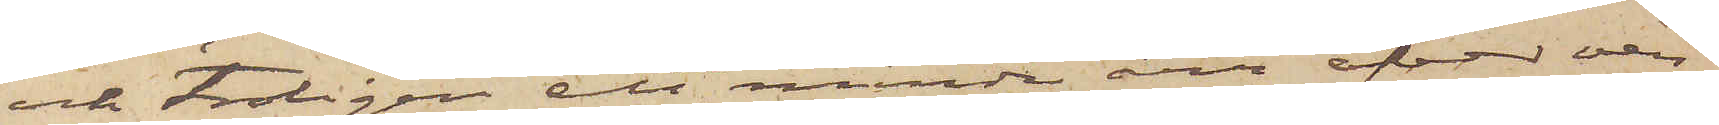och troligen ett mindre ärr öfver ven¬
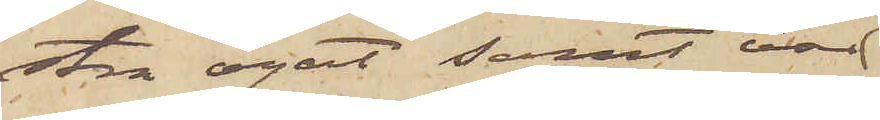stra ögat samt var
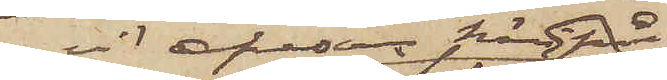vid afresan härifrån
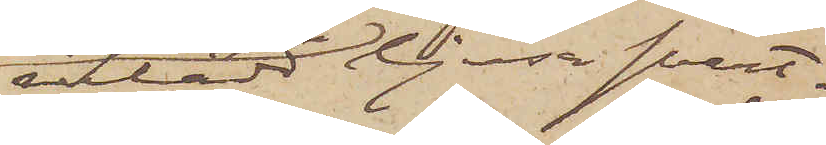iklädd ljusa svart¬
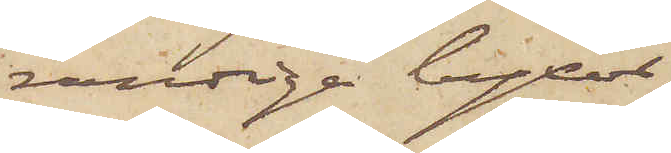randiga byxor,
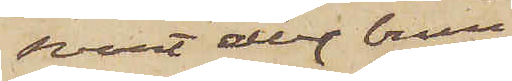svart eller brun
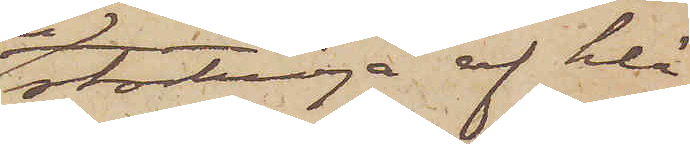stortröja af klä¬
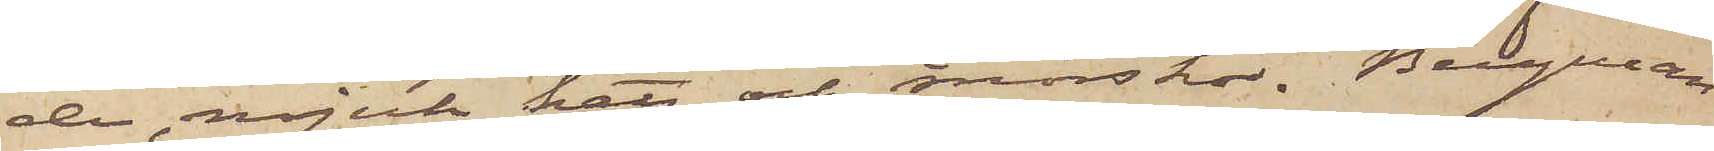de, mjuk hatt och snörskor. Bergman
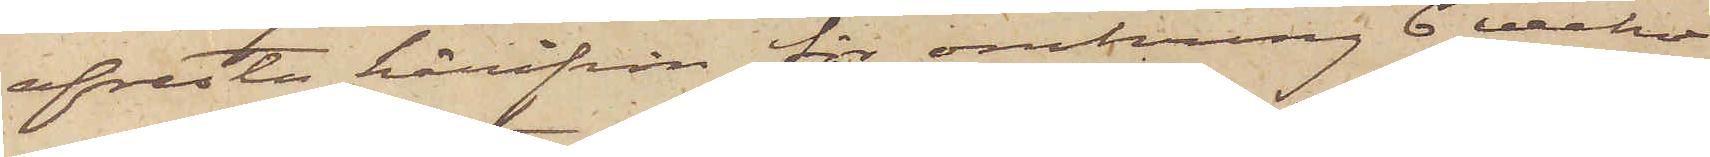afreste härifrån för omkring 6 veckor
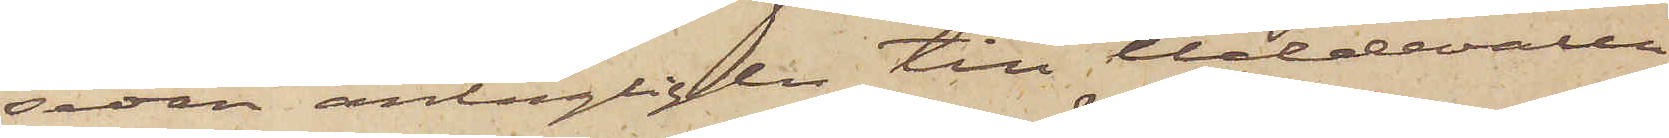sedan antagligen till Uddevalla
